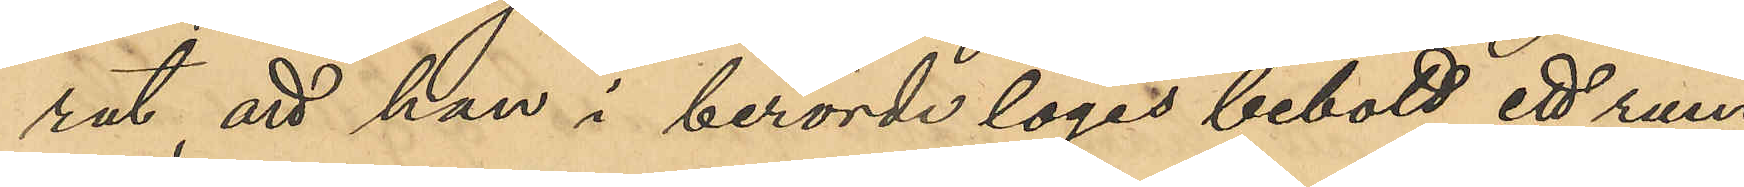rat, att han i berörde logis bebott ett rum
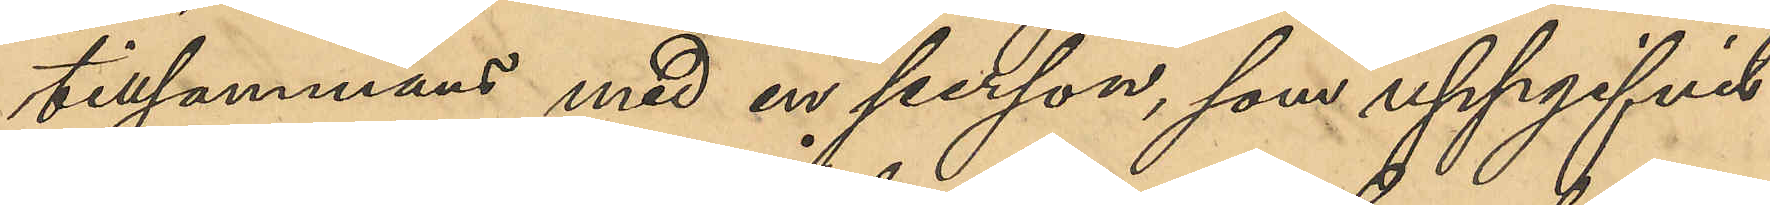tillsammans med en person, som uppgifvit
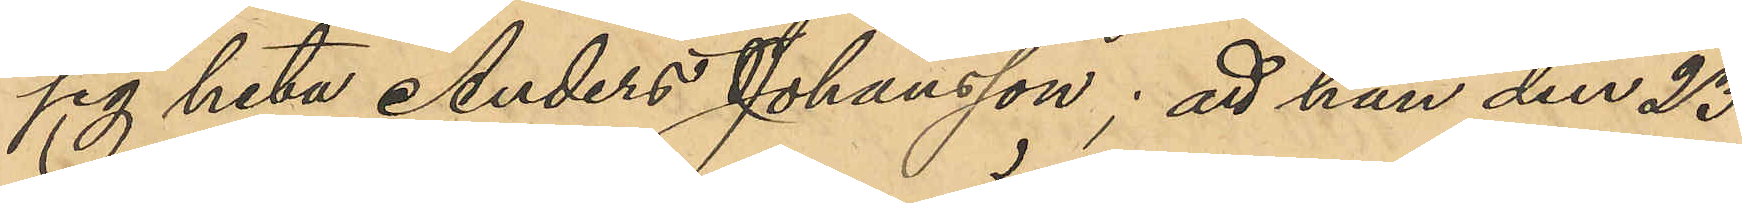sig heta Anders Johansson; att han den 23
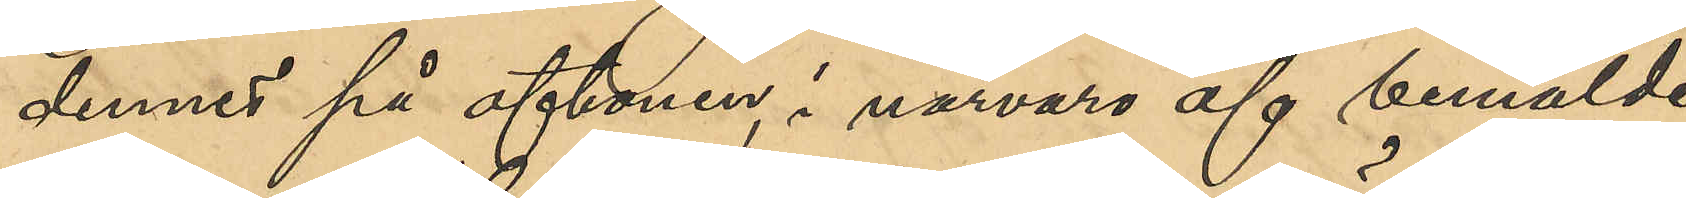dennes på aftonen, i närvaro ef bemälde
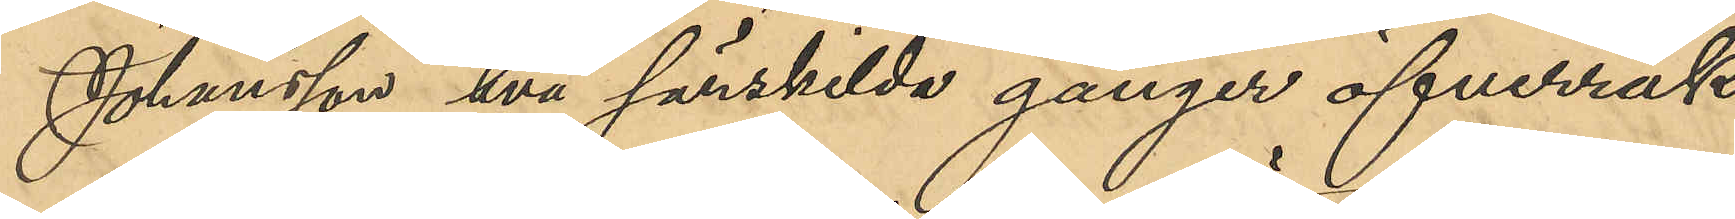Johansson två särskilda gånger öfverräk¬
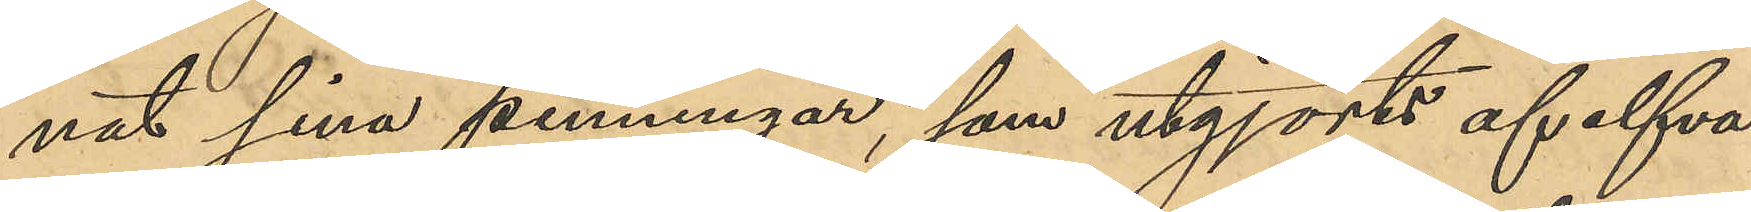nat sina penningar, som utgjorts af elfva
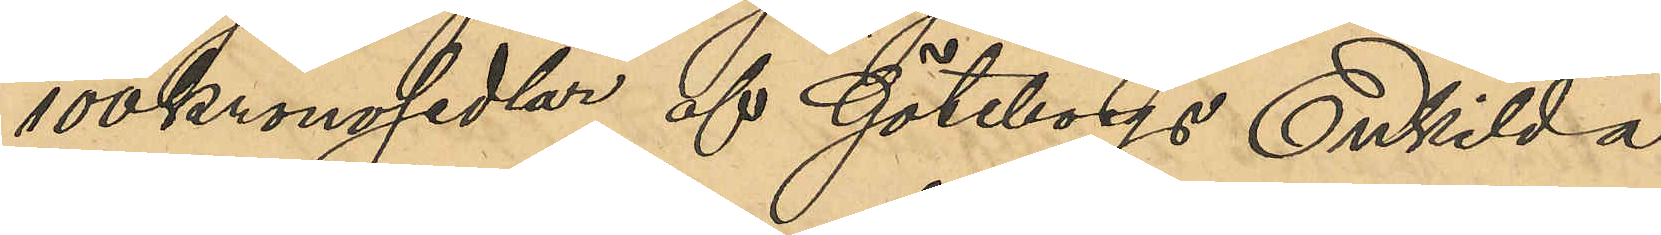100kronosedlar af Göteborgs Enskilda
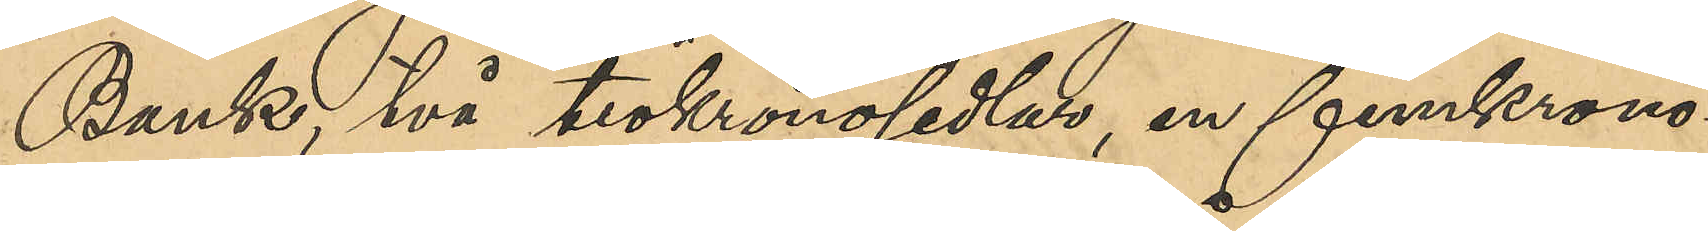Bank, två tiokronosedlar, en enkrono¬
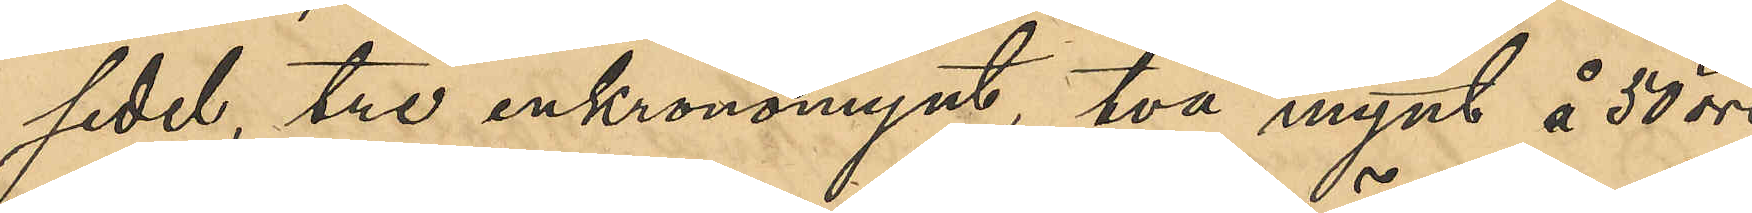sedel, tre enkronomynt, två mynt å 50 öre
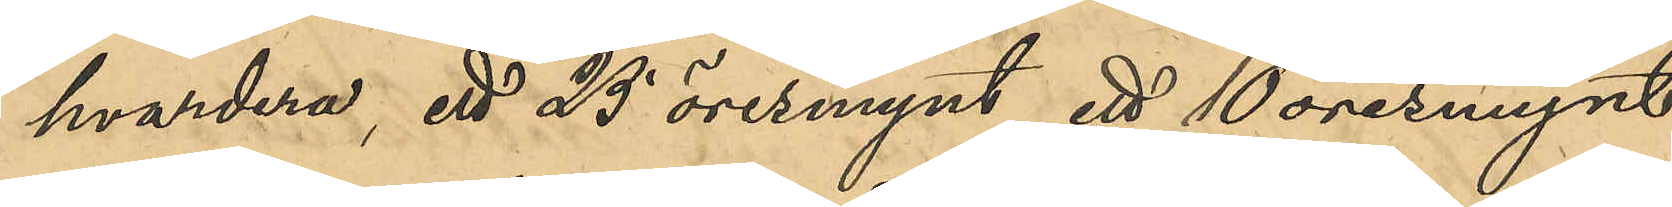hvardera, ett 25 öresmynt, ett 10 öresmynt
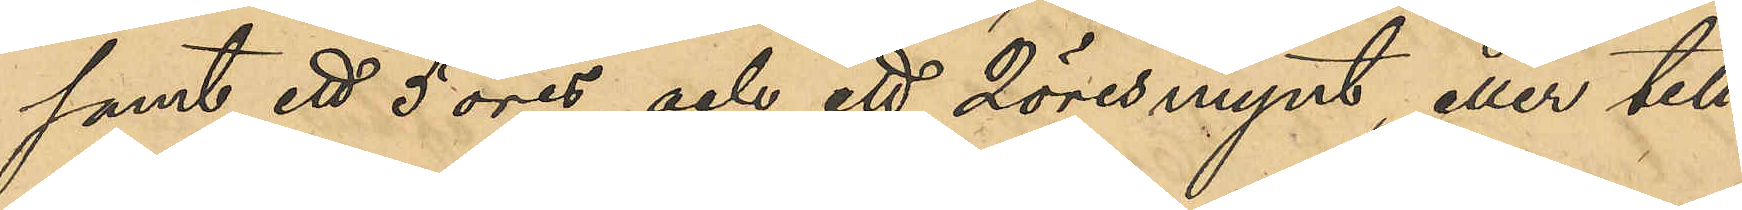samt ett 5 öres och ett 2 öresmynt, eller till¬
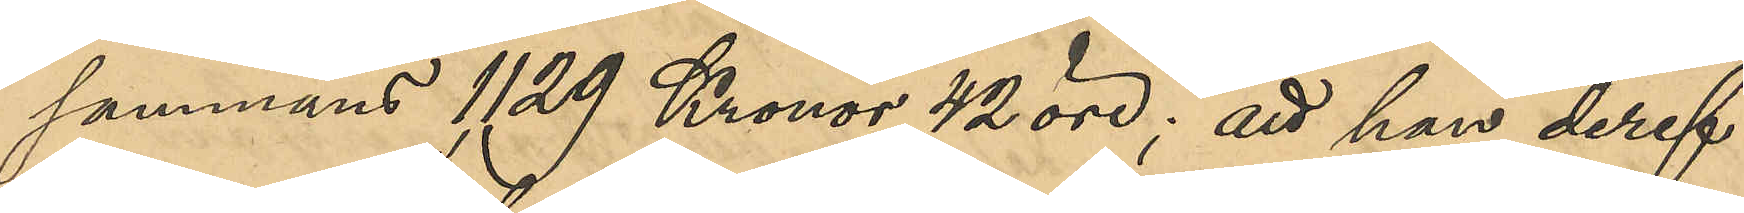sammans 1129 Kronor 42 öre; att han deref¬
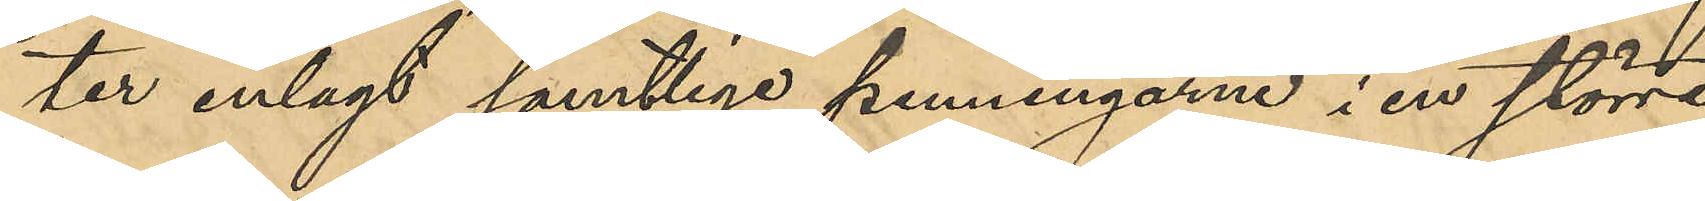ter inlagt samtlige penningarne i en större
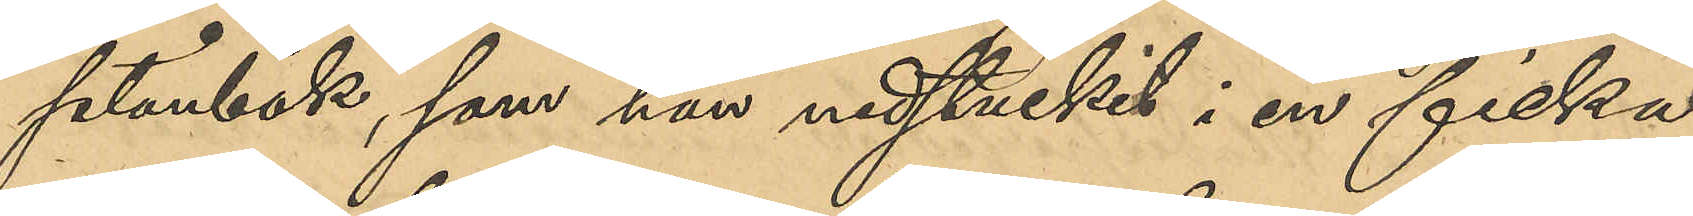plånbok, som han nedstuckit i en ficka
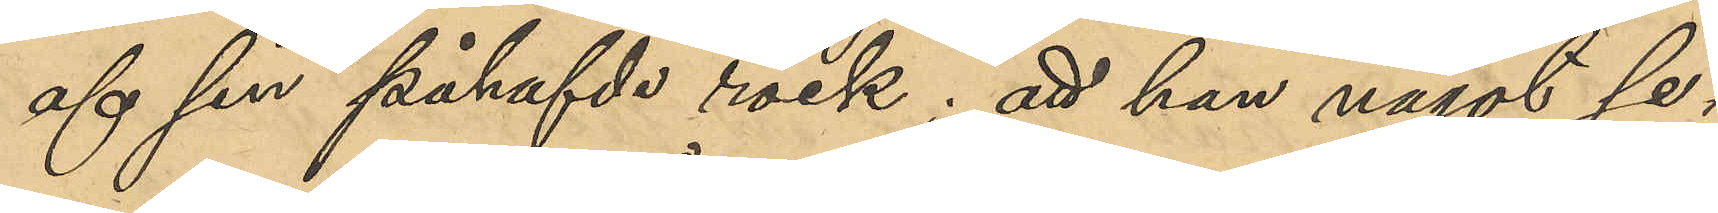af sin påhafvde rock: att han något se¬
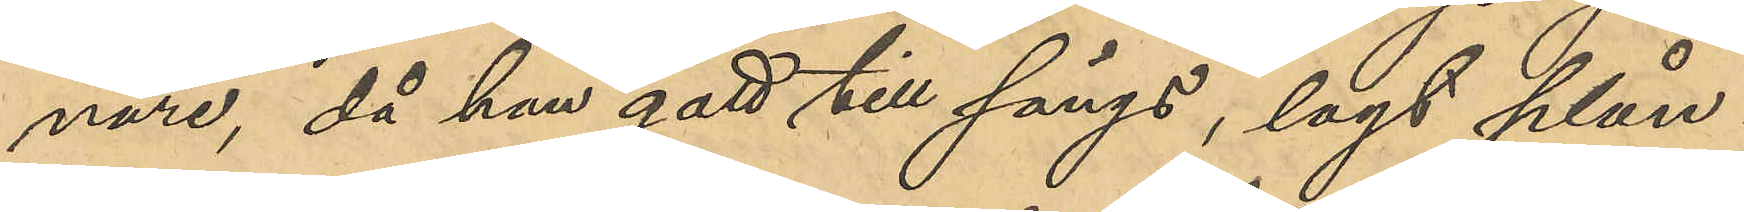nare då han gått till sängs, lagt plån¬
